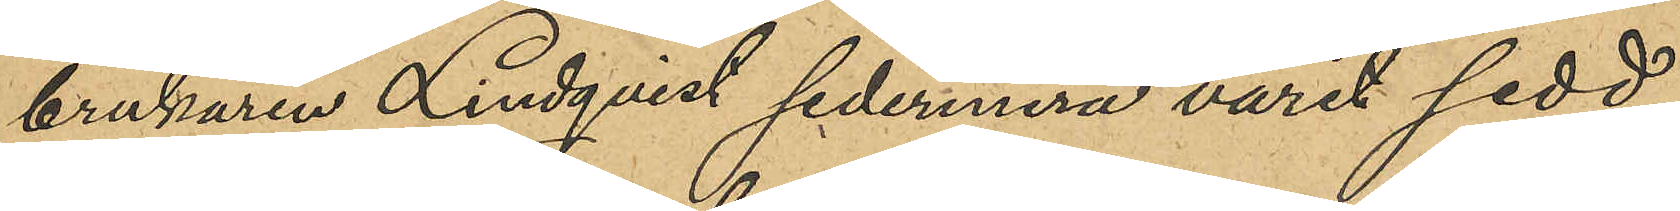brukaren Lindqvist sedermera varit sedd
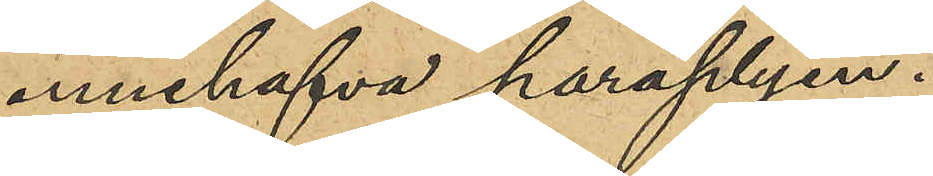innehafva paraplyen.
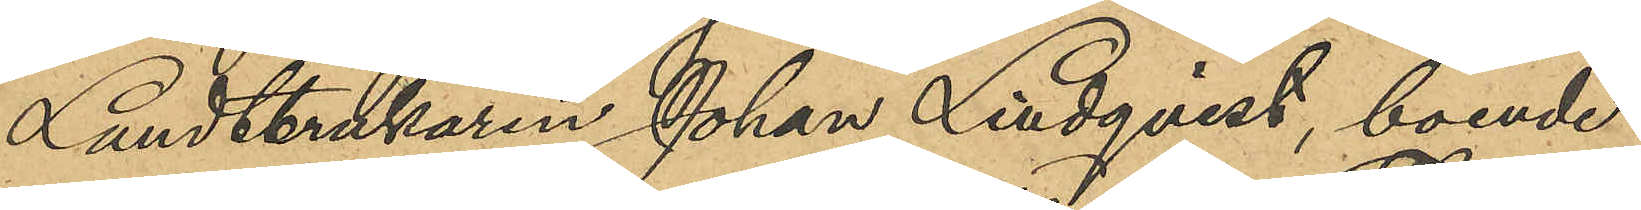Landtbrukaren Johan Lindqvist, boende
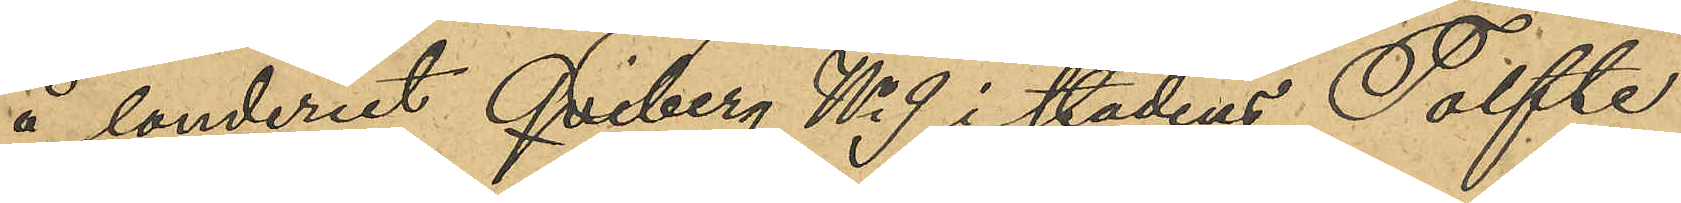å landeriet Qviberg No 9 i stadens Tolfte
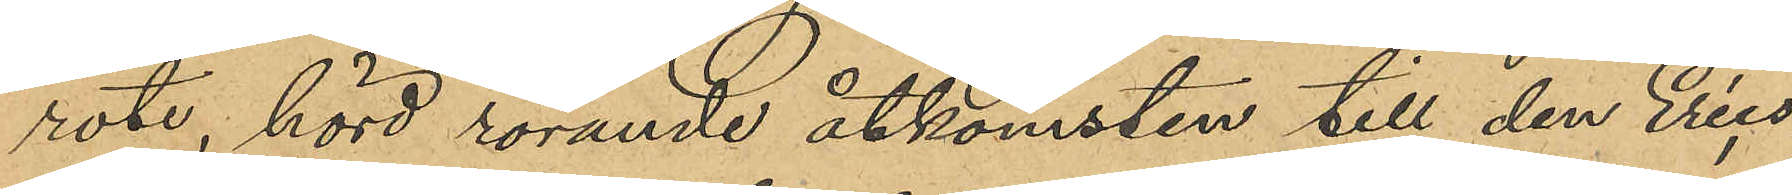rote, hörd rörande åtkomsten till den Erics¬
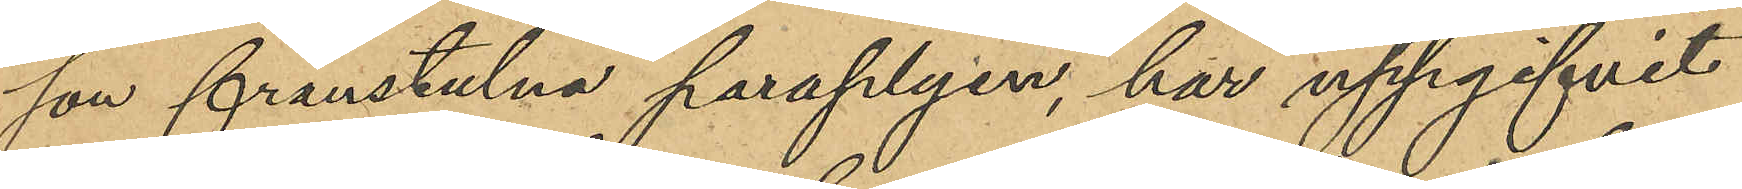son frånstulna paraplyen, har uppgifvit
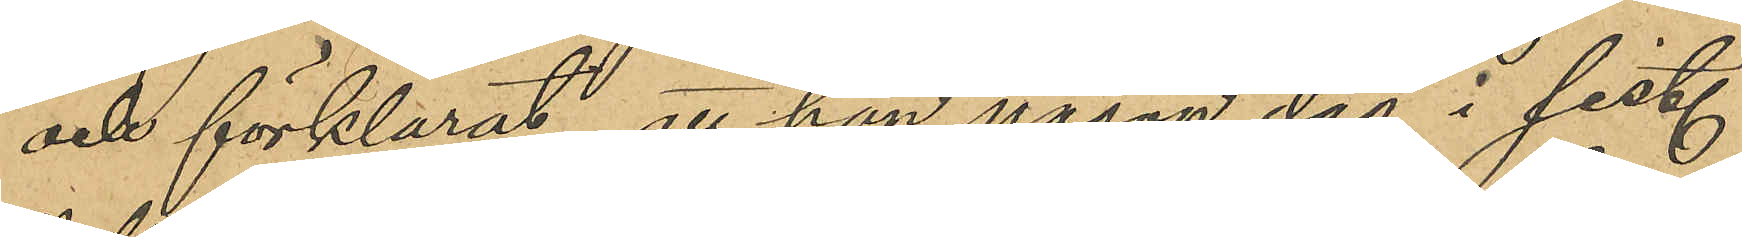och förklarat, att han någon dag i sist.
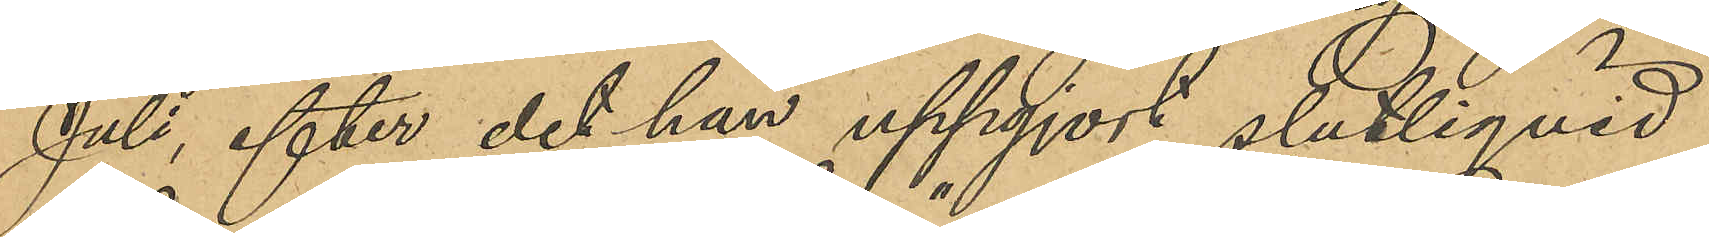Juli, efter det han uppgjort slutliqvid
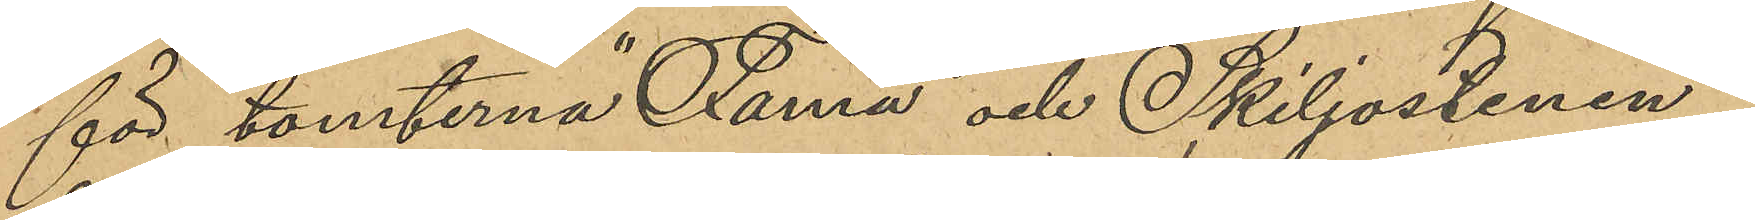för tomterna "Farna" och "Skiljostenen" i 
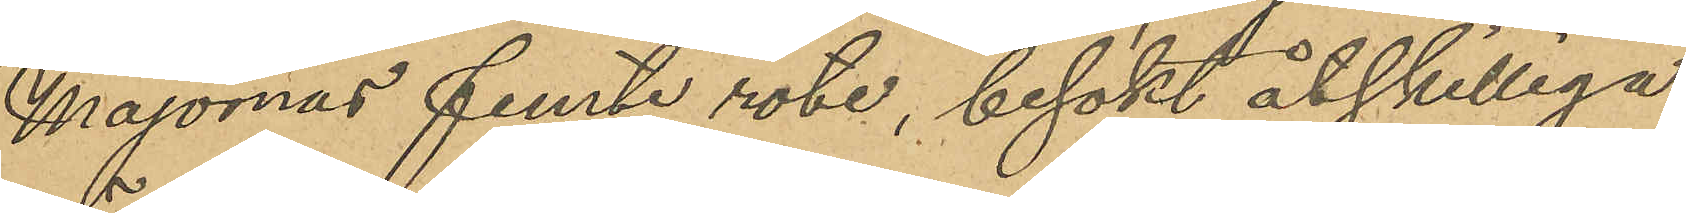Majornas femte rote, besökt åtskilliga
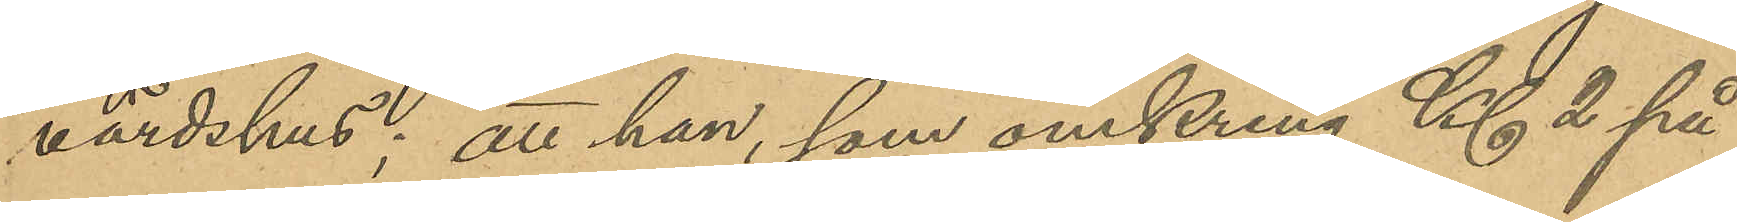värdshus; att han, som omkring Kl 2 på
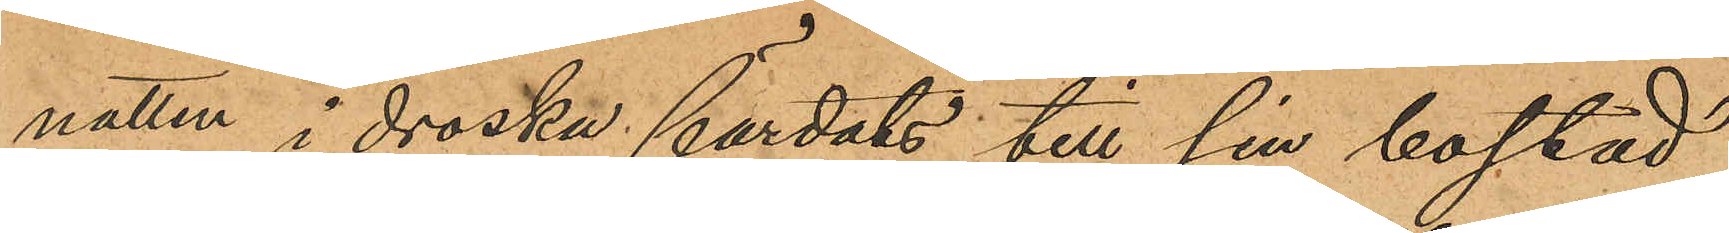natten i droska färdats till sin bostad,
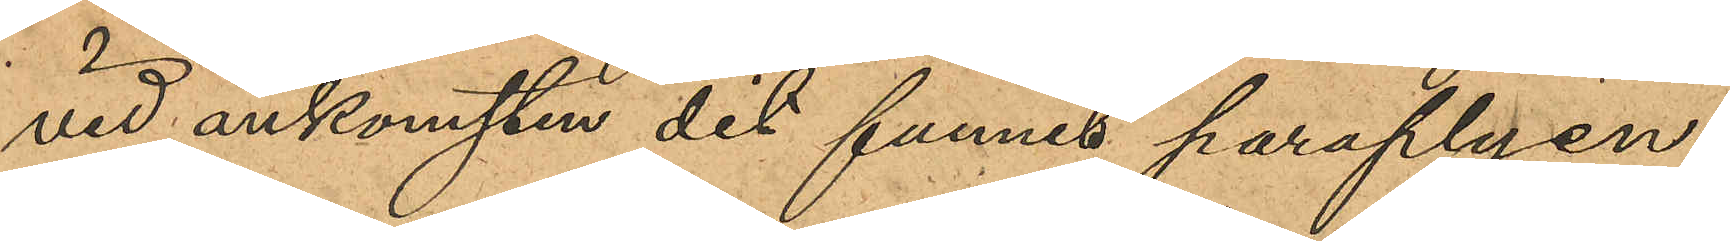vid ankomsten dit funnit paraplyen
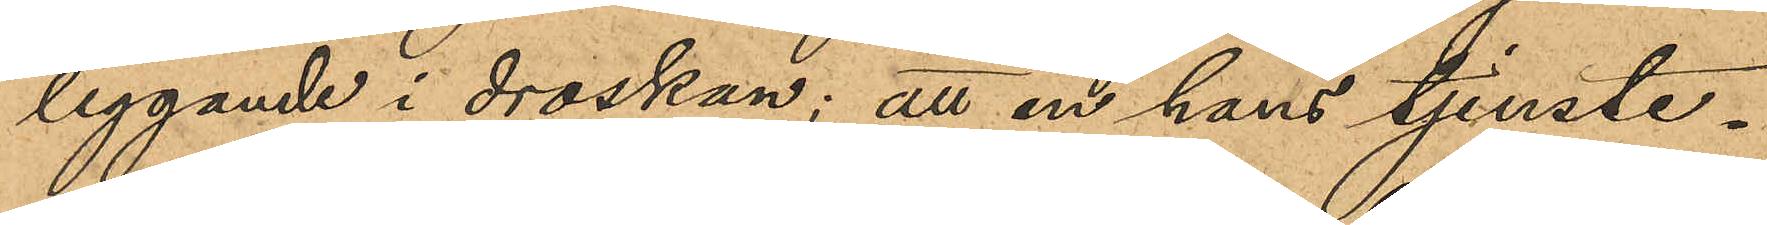liggande i droskan; att en hans tjenste¬
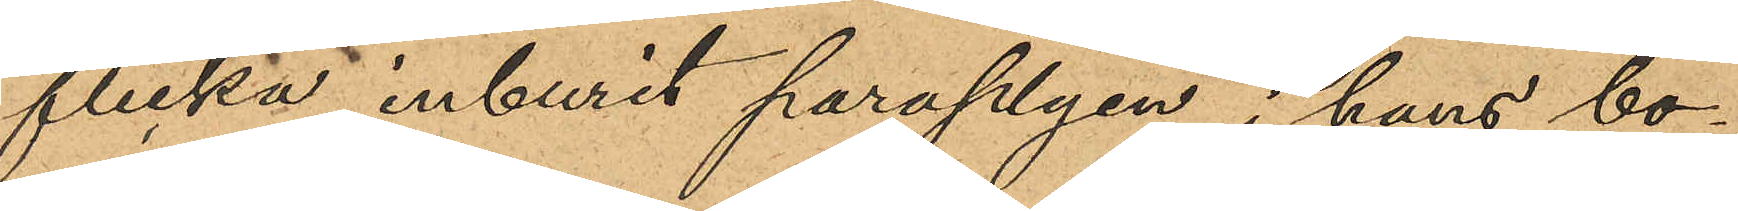flicka inburit paraplyen i hans bo¬
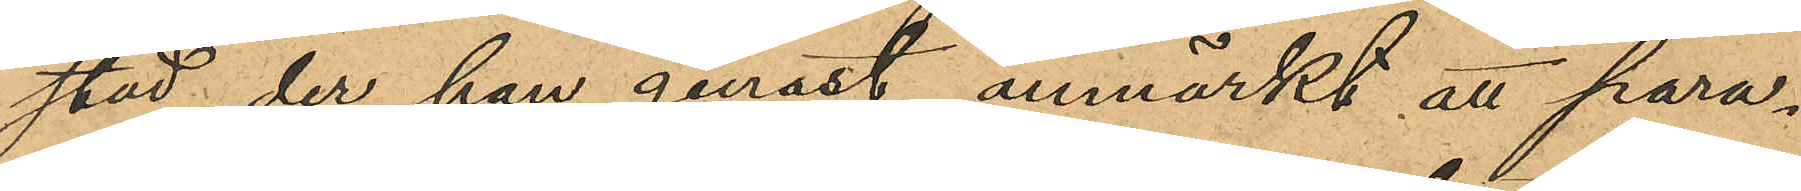stad der han genast anmärkt att para¬
